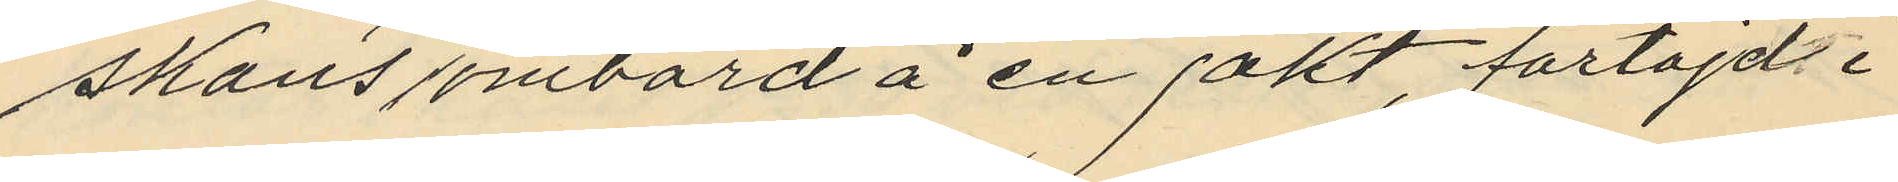skans ombord å en jakt, förtöjd i
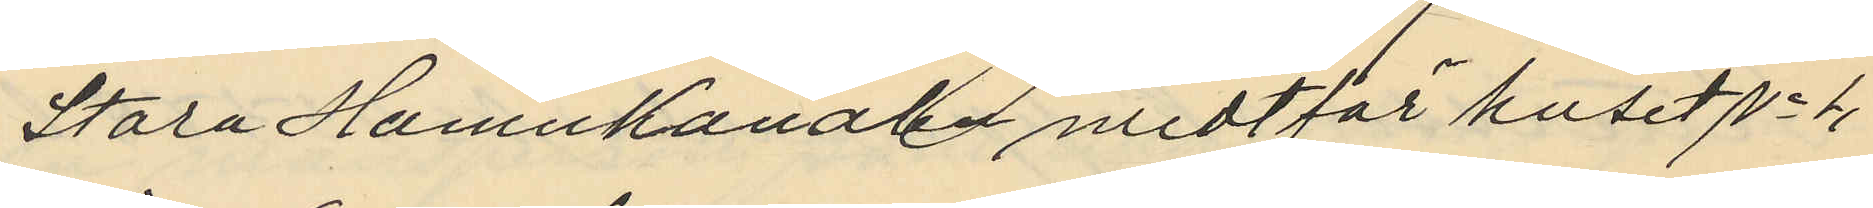Stora Hamnkanalen midtför huset No 4
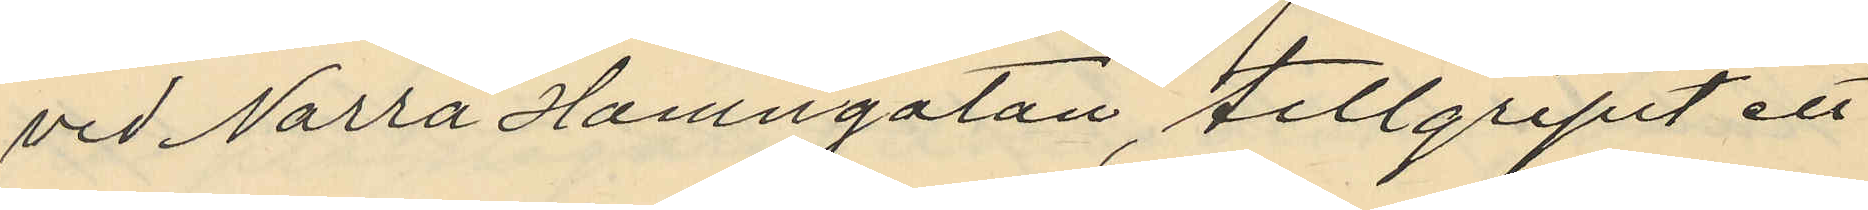vid Norra Hamngatan, tillgripit ett
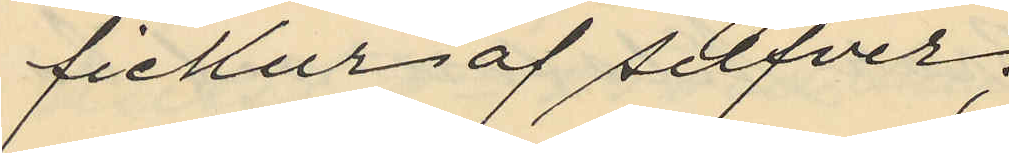fickur af silfver;
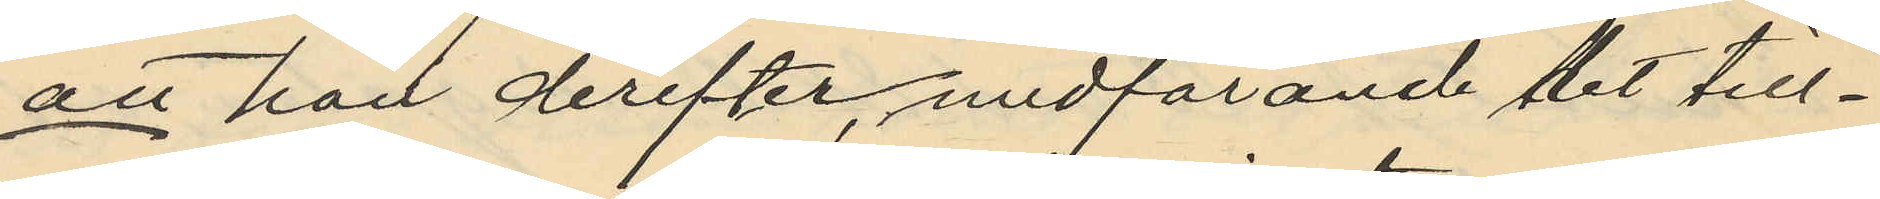att han derefter, medförande det till¬
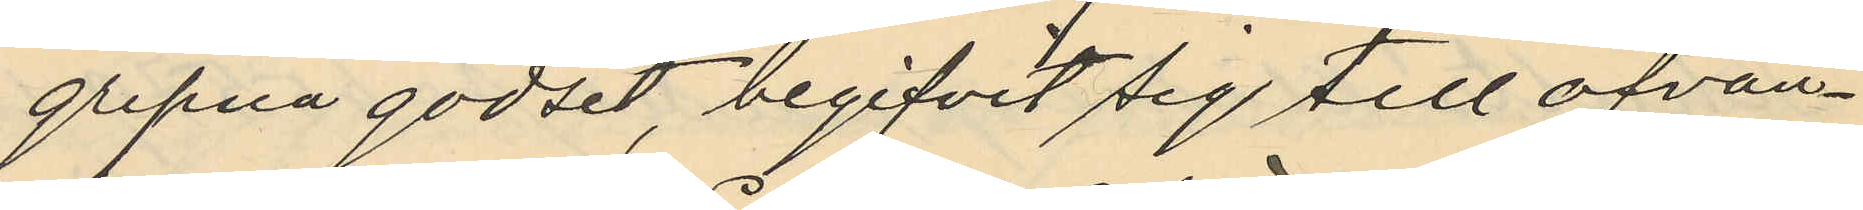gripna godset, begifvit sig till ofvan¬
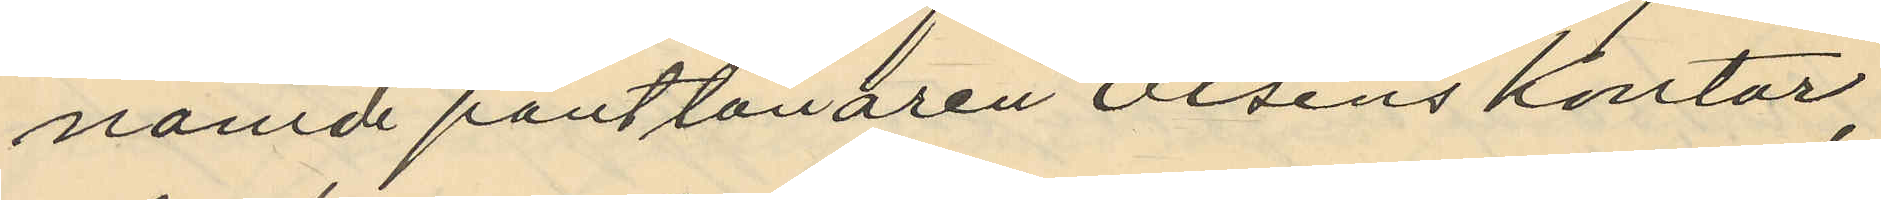nämde pantlånaren Olséns kontor,
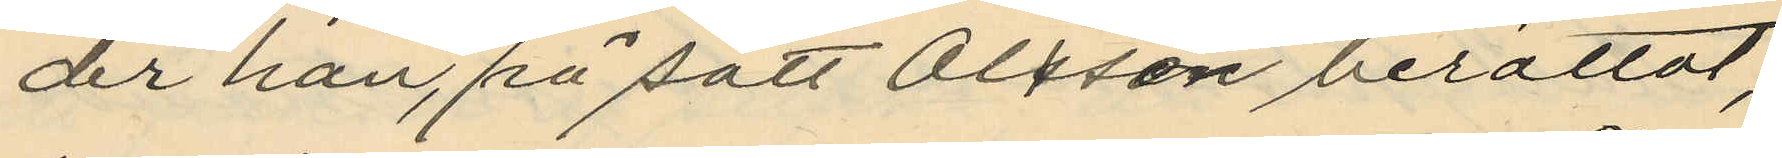der han, på sätt Olssén berättat,
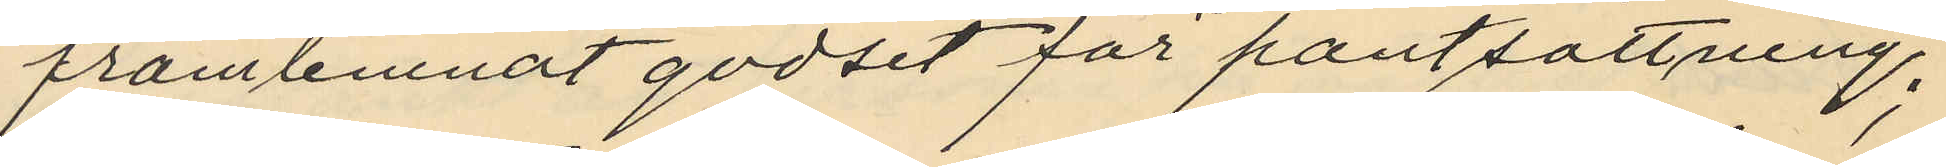framlemnat godset för pantsättning;
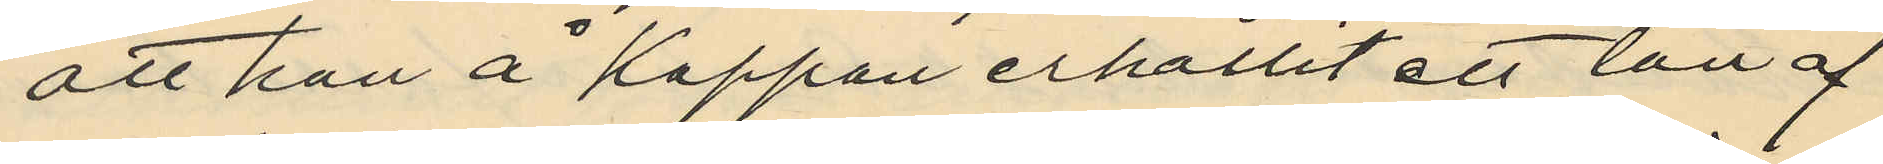att han å kappan erhållit ett lån af
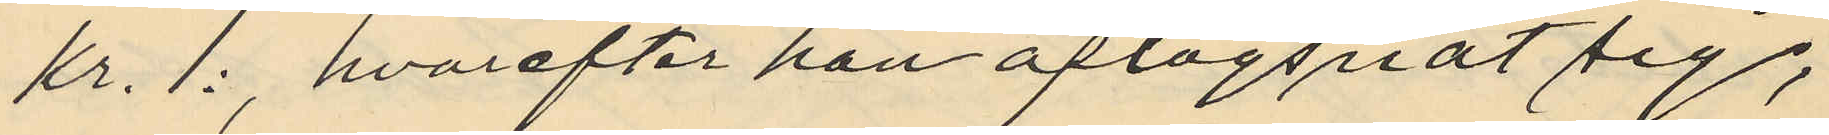kr. 1:, hvarefter han aflägsnat sig;
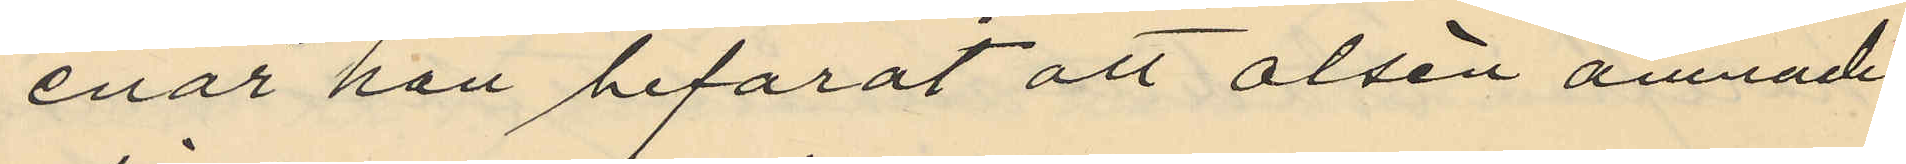enär han befarat att Olsén ämnade
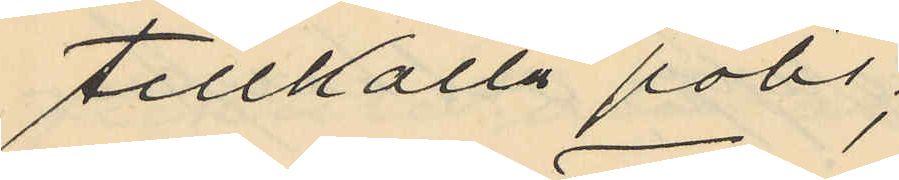tillkalla polis;
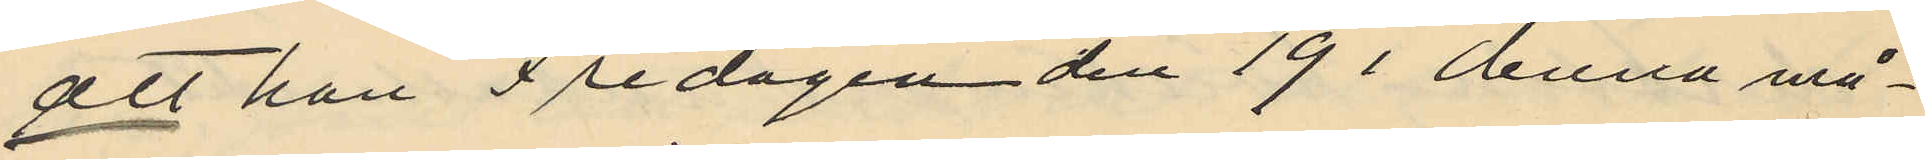att han Fredagen den 19 i denna må¬
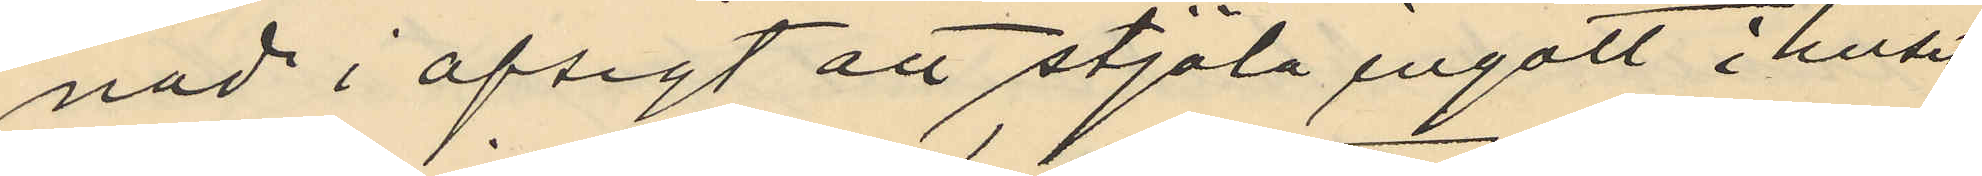nad i afsigt att stjäla ingått i huset
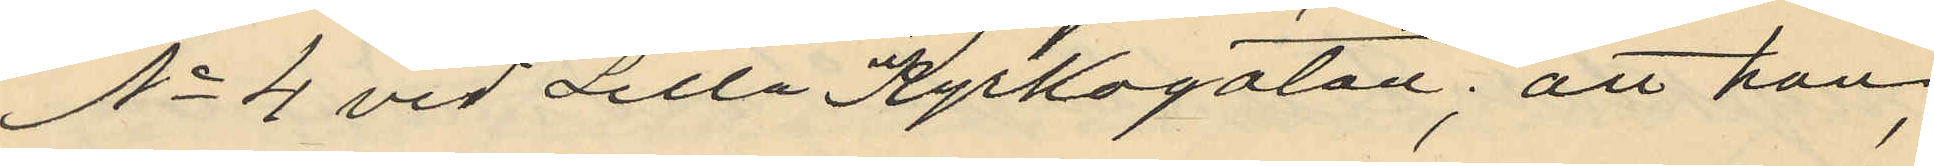No 4 vid Lilla Kyrkogatan; att han,
